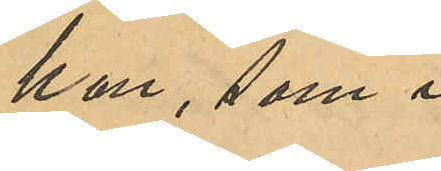han, som i
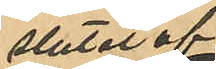slutet af
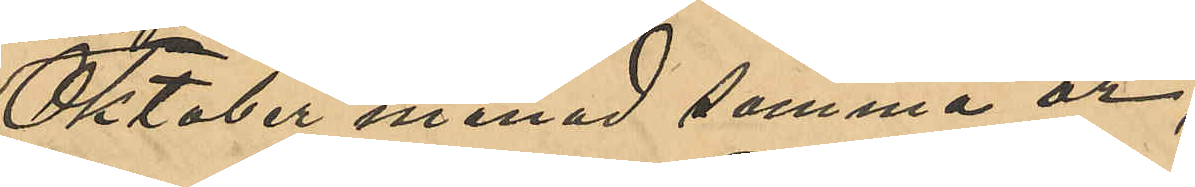Oktober månad samma år,
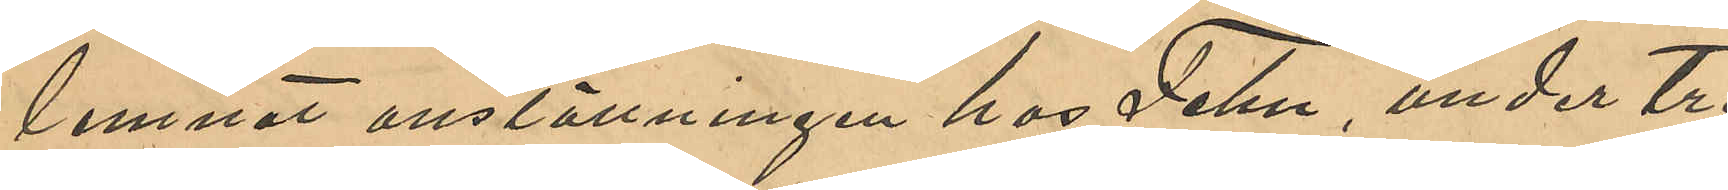lemnat anställningen hos Fehn, under tre
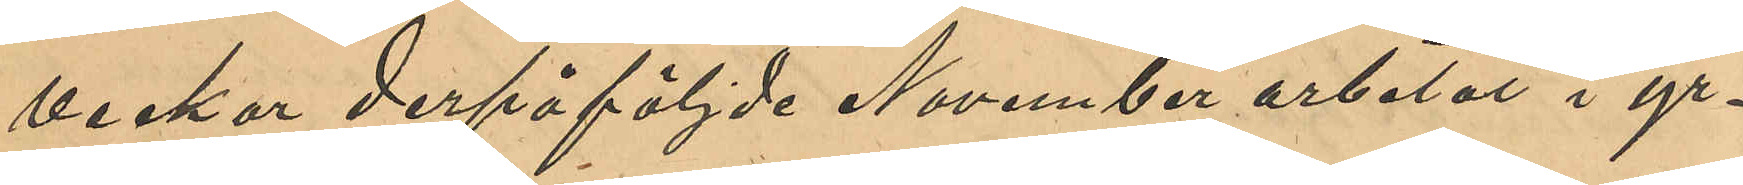veckor derpåföljda November arbetat i yr¬
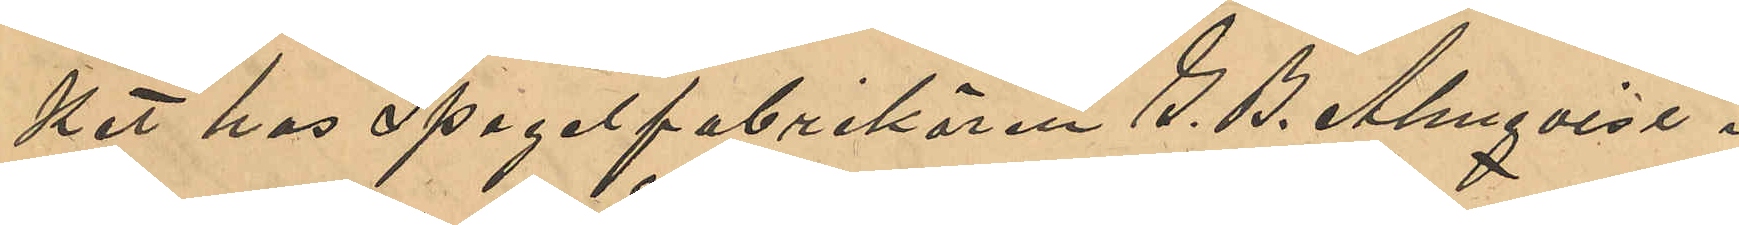ket hos Spegelfabrikören G. B. Almqvist i
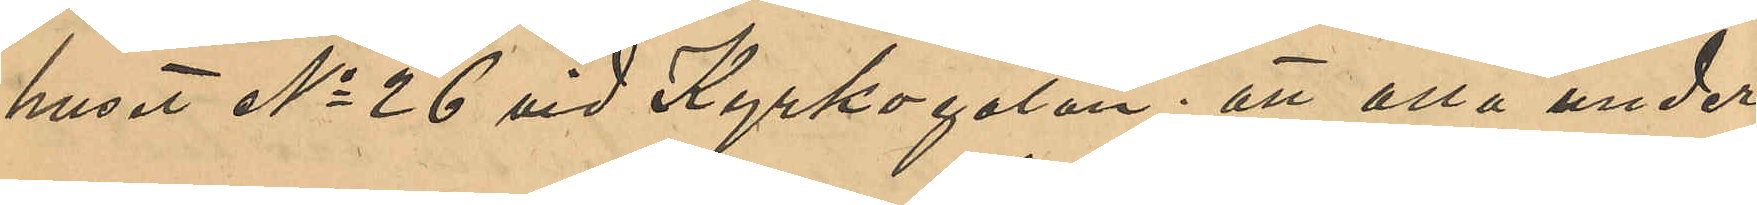huset No 26 vid Kyrkogatan; att alla under¬
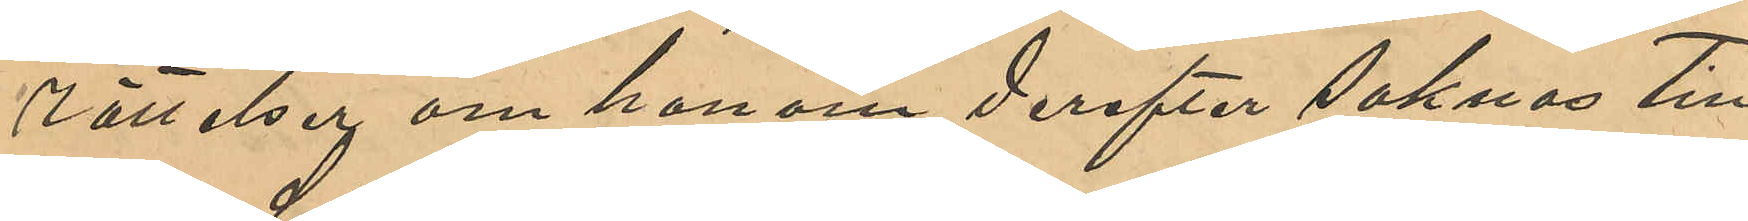rättelser om honom derefter saknas till
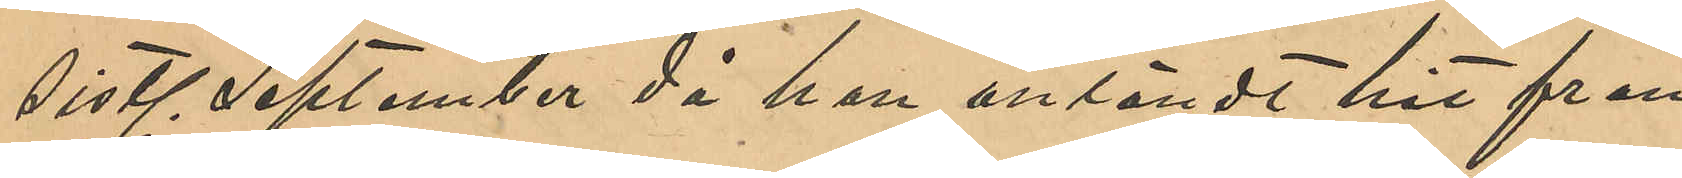sistl September då han anländt hit från
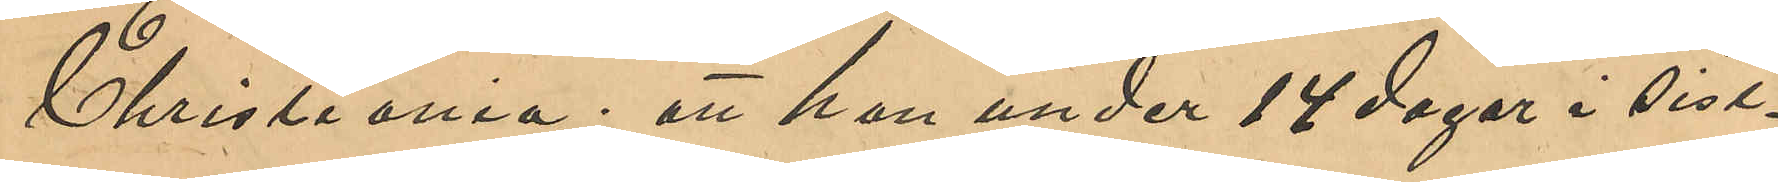Christiania; att han under 14 dagar i sist¬
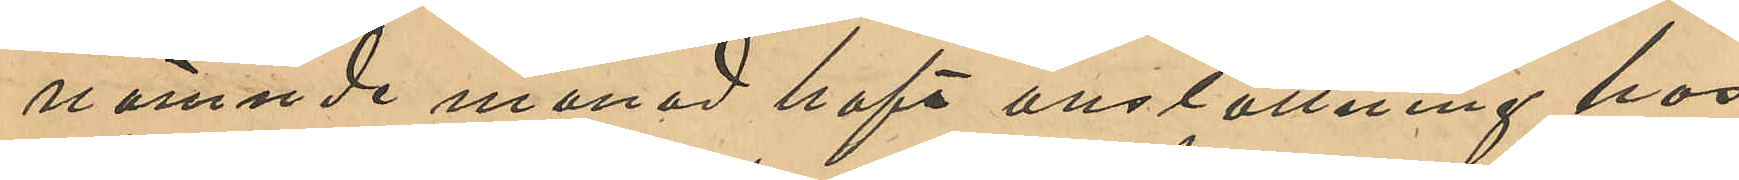nämnde månad haft anställning hos
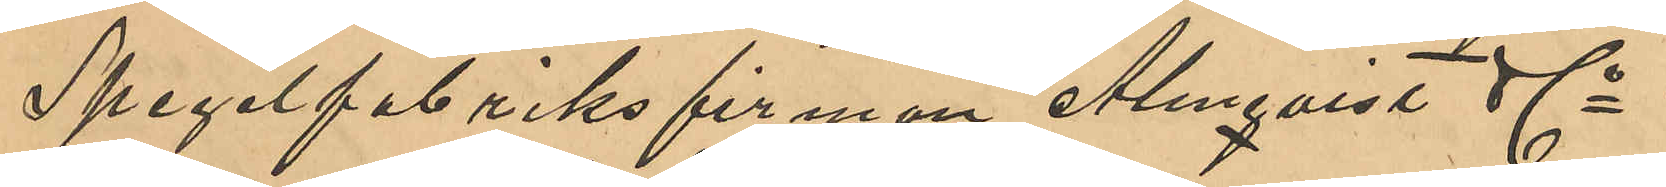Spegelfabriksfirman Almqvist & Co i
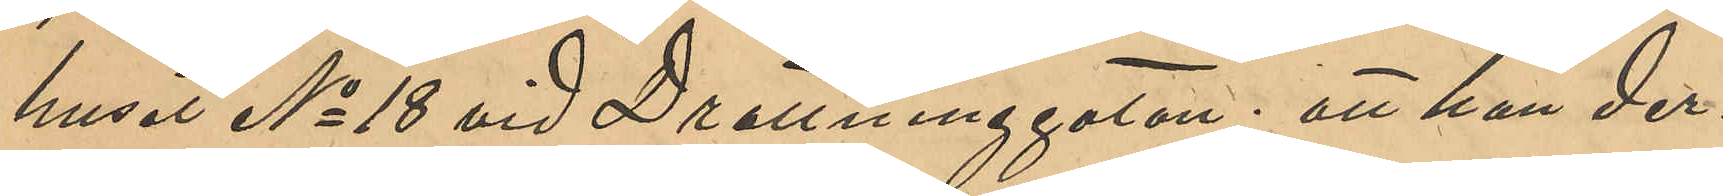huset No 18 vid Drottninggatan; att han der¬
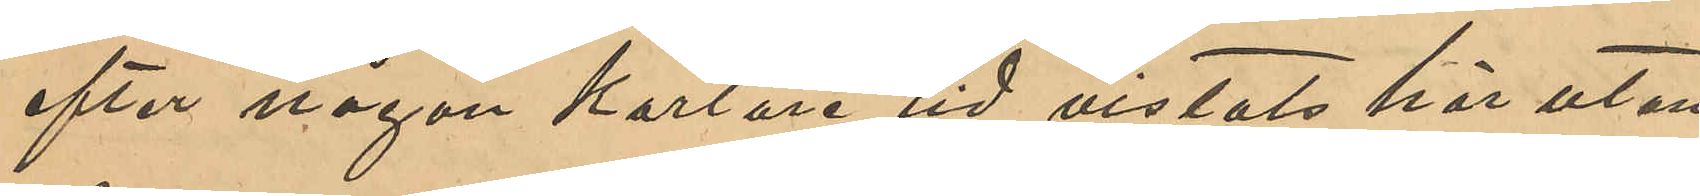efter någon kortare tid vistats här utan
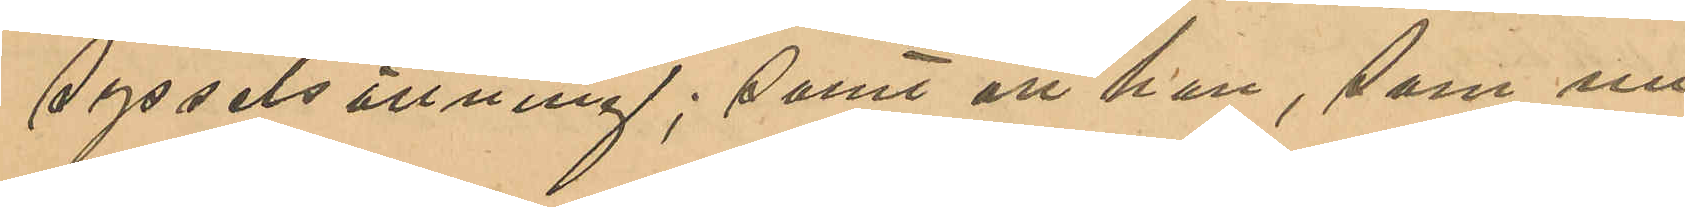sysselsättning; samt att han, som nu
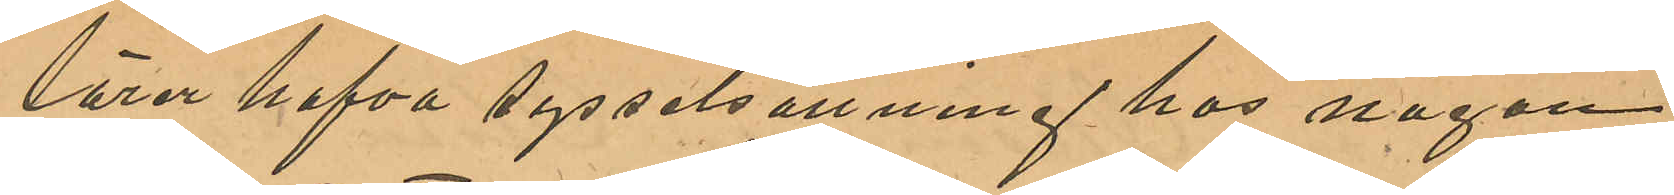lärer hafva sysselsättning hos någon
